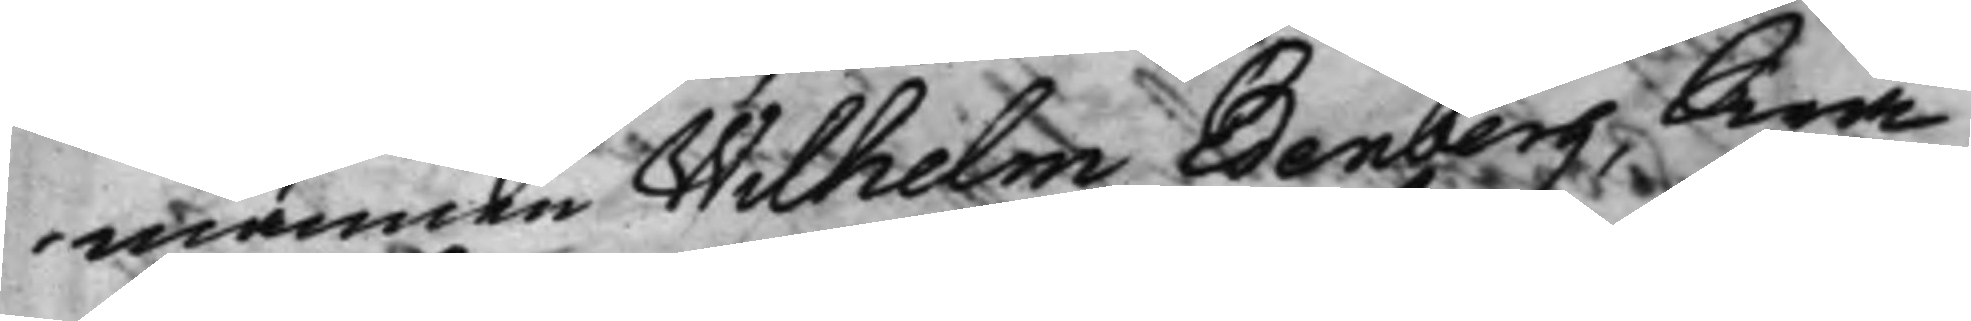mannen Wilhelm Edenberg, Swa¬
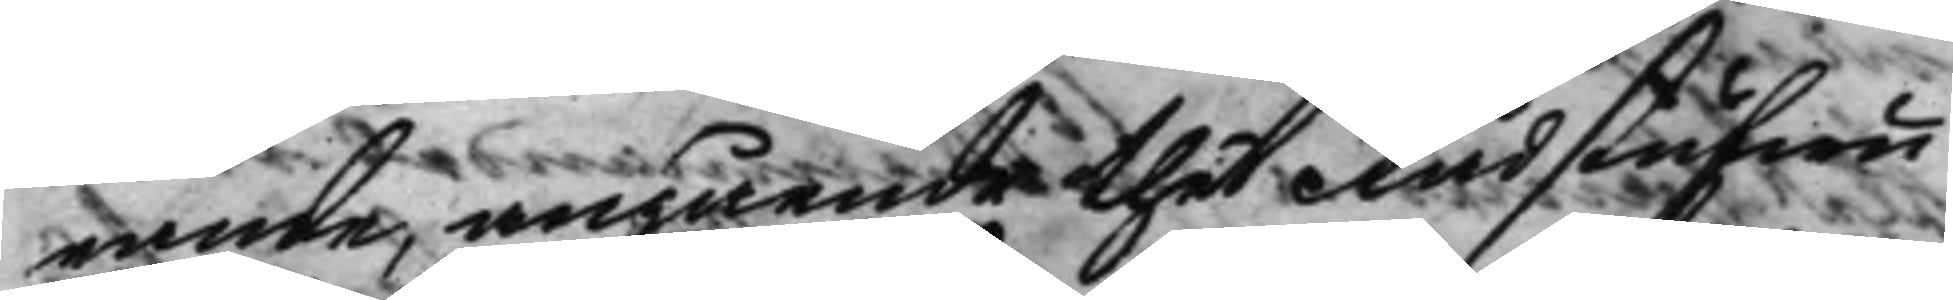rande, angående thet Rådstufwu¬
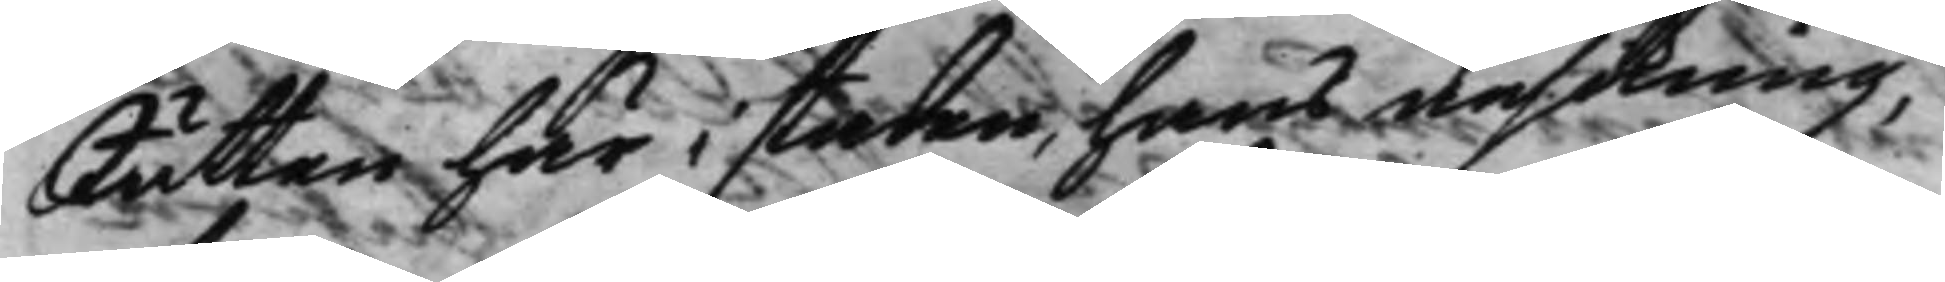Rätten här i staden, hans ansökning,
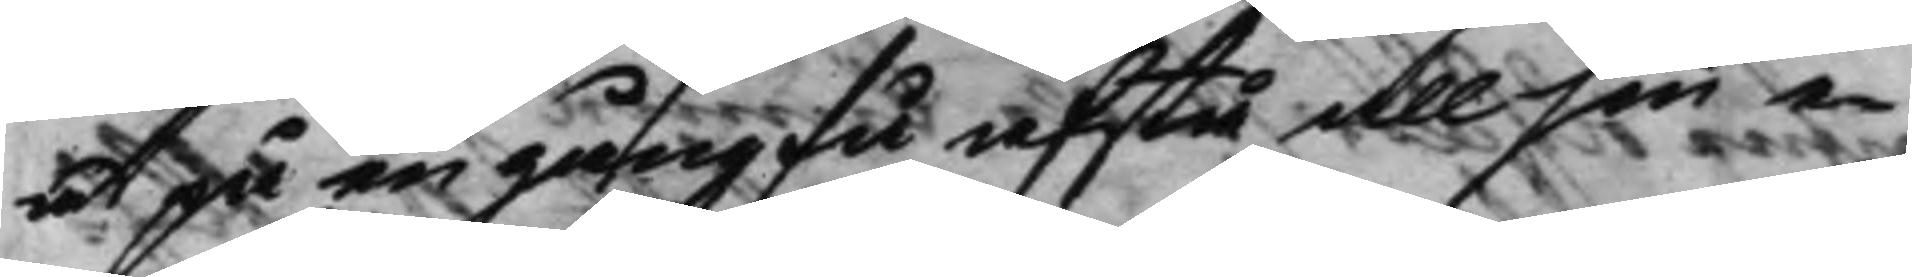at på en gång få afstå all sin e¬
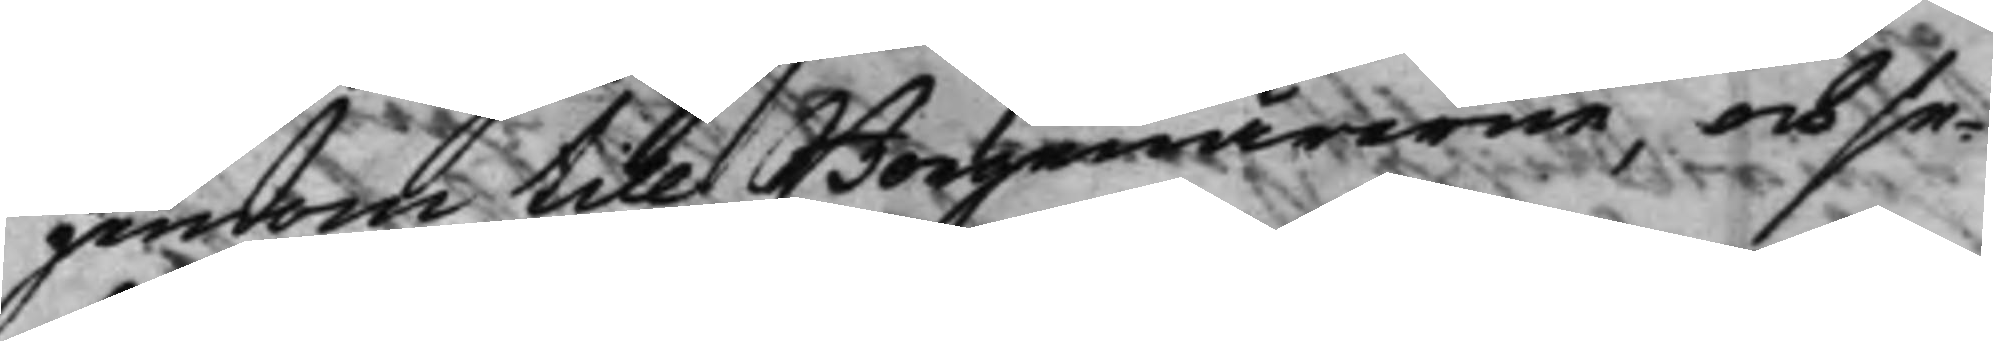gendom till Borgenärerne, och se¬
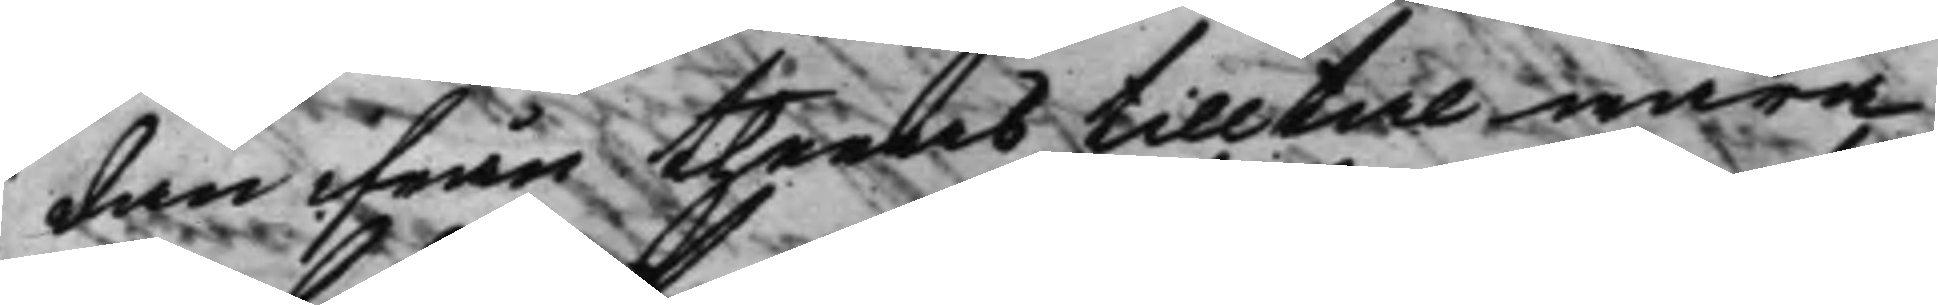dan ifrån theras tilltal wara
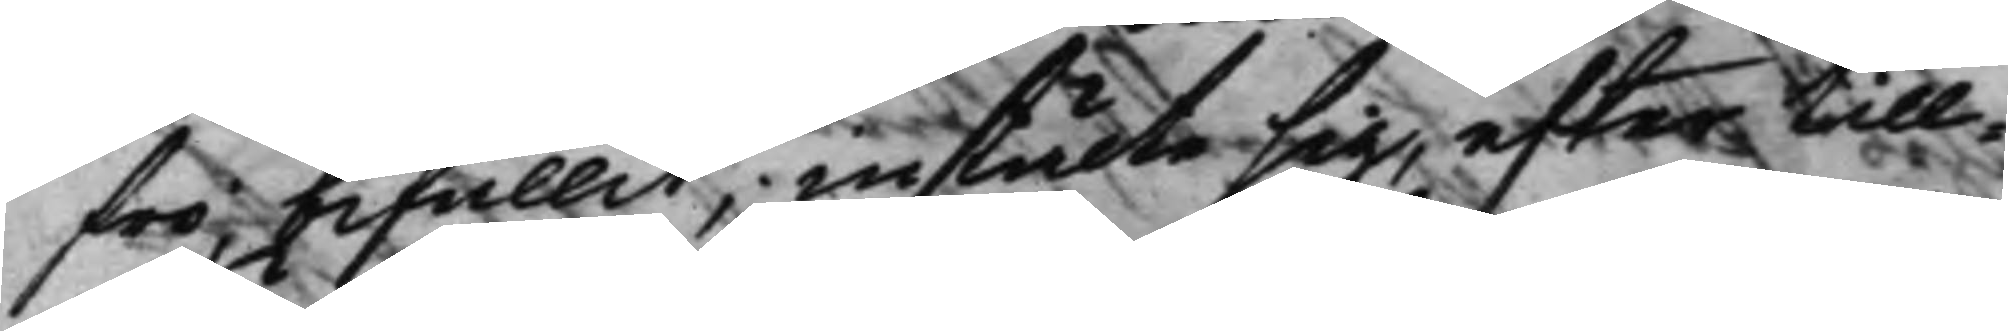fri, bifallit, instälte sig, efter till¬
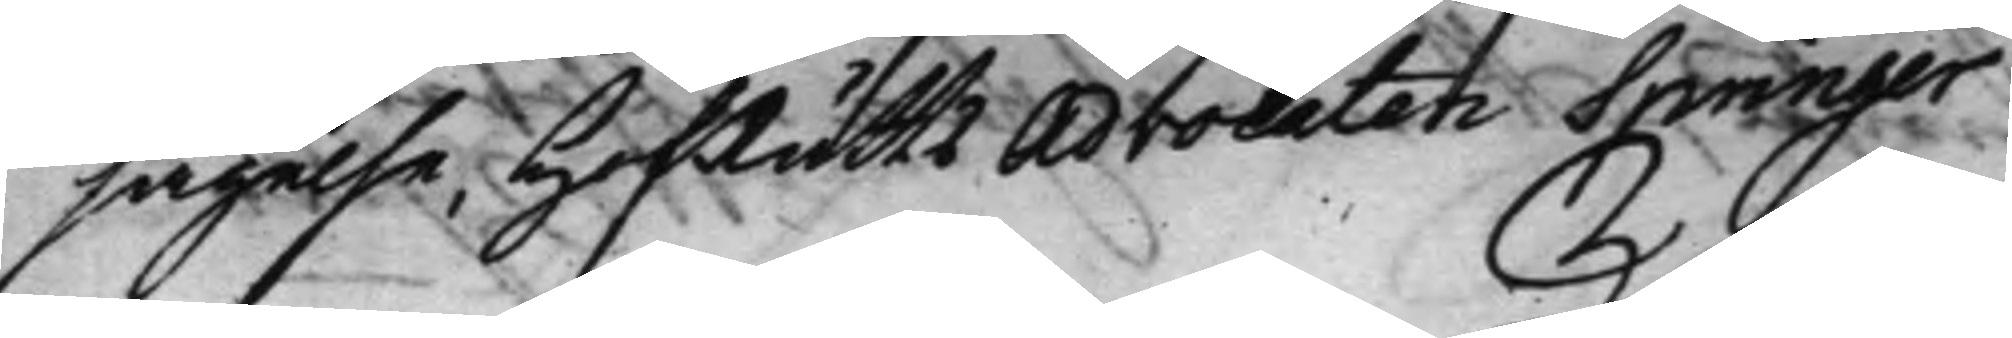sägelse, HofRätts Advocaten Springer
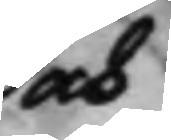och
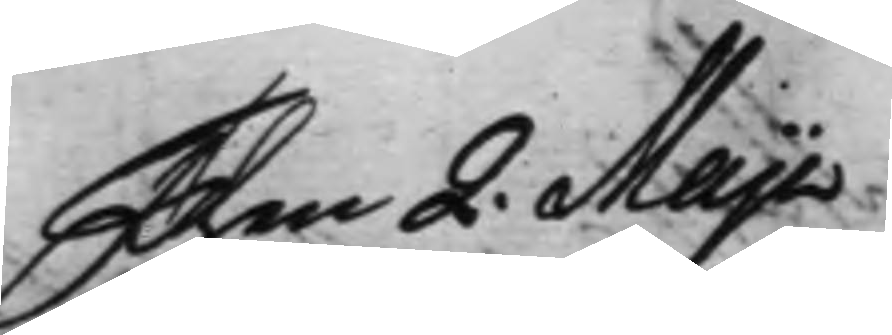Then 2. Maji
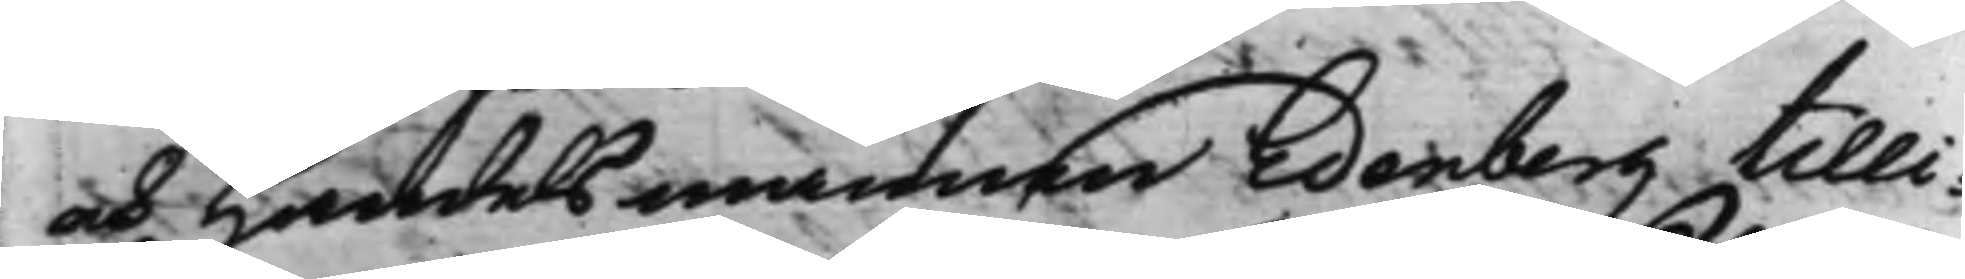och Handelsmannen Edenberg tilli¬
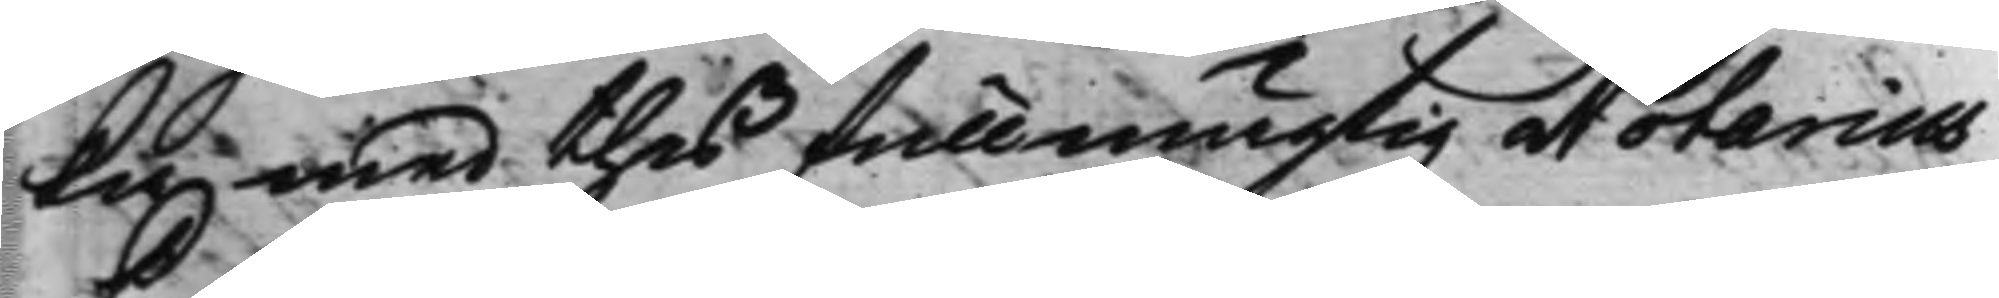ka med thes fullmägtig Notarius
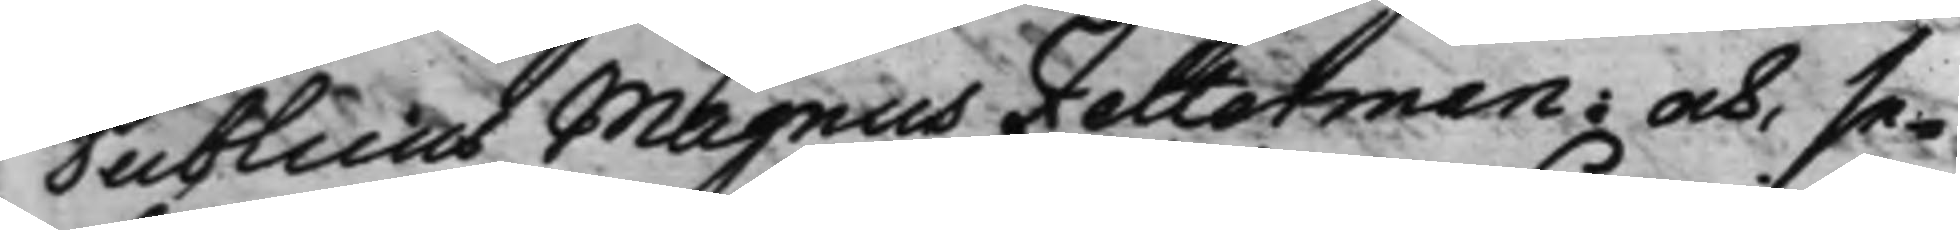Publicus Magnus Zetterman; och, se¬
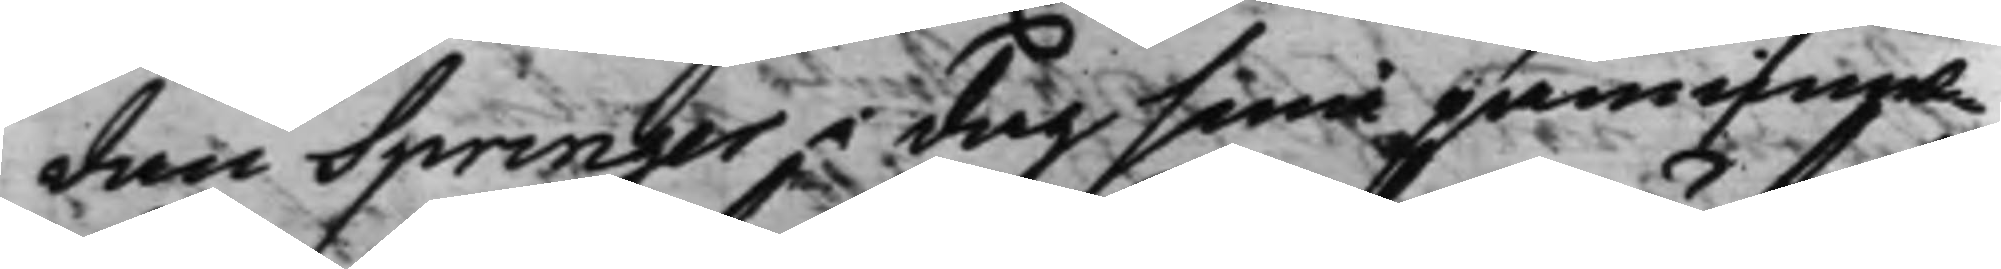dan Springer i dag sina påminnel¬
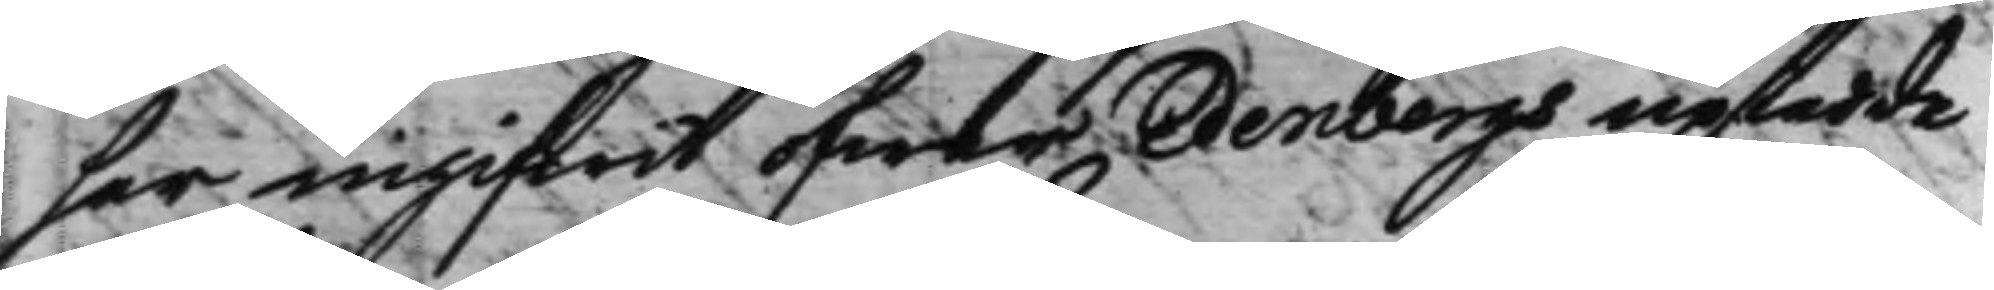ser ingifwit öfwer Edenbergs uptedde
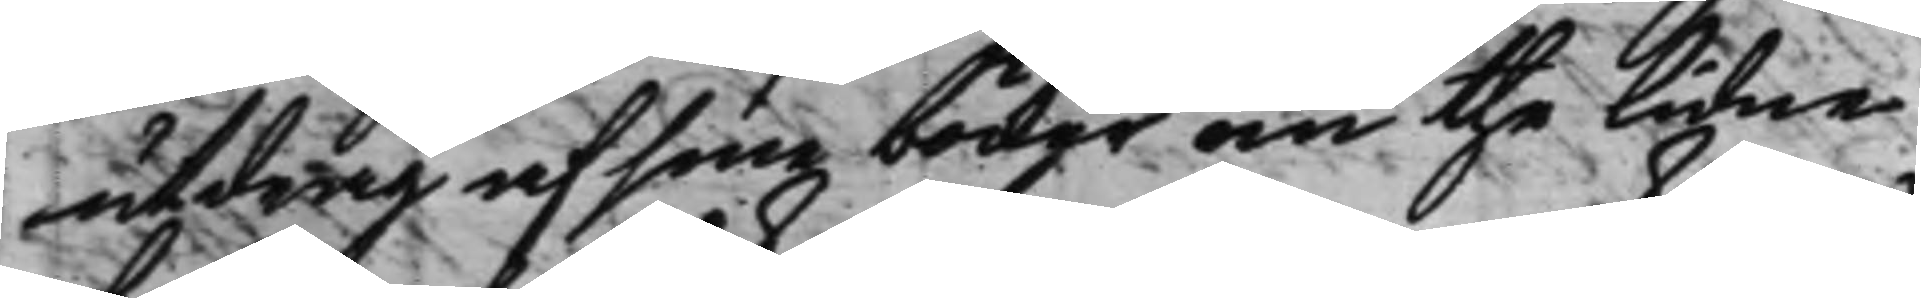utdrag af sine böcker om the lidne
